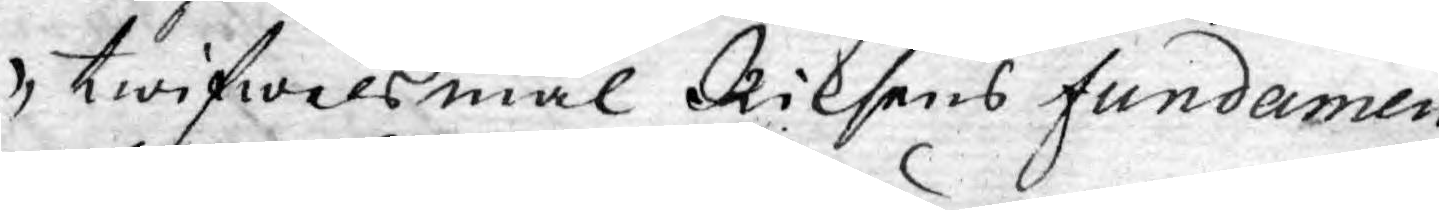twifwelsmål Riksens fundamen¬
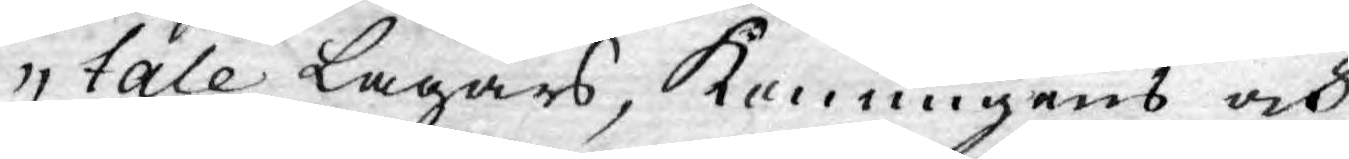tale Lagars, Konungens och
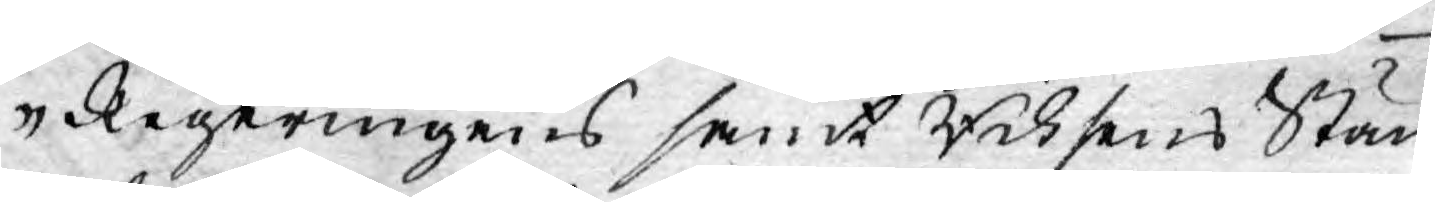Regeringens samt Riksens Stän¬
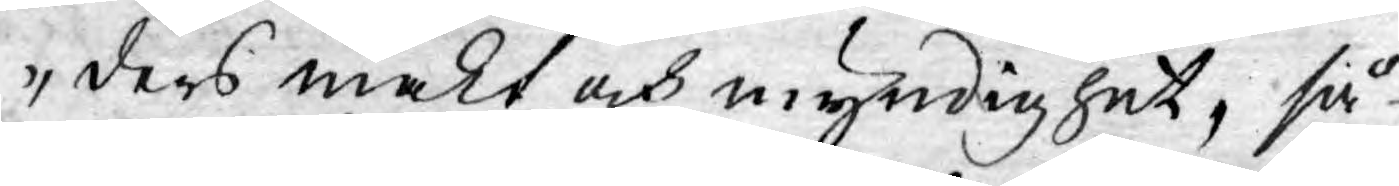ders makt och myndighet, så
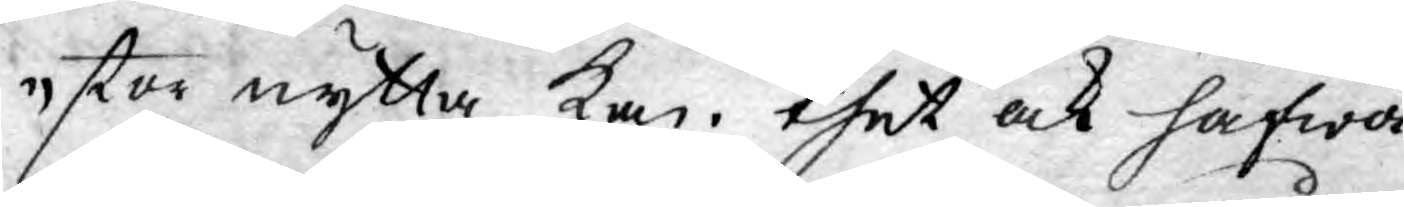stor nytta kan. thet ock hafwa
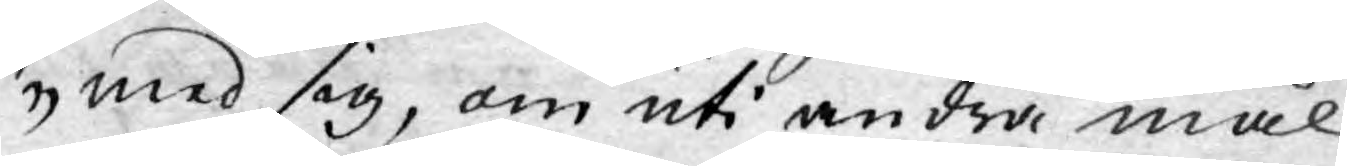med sig, om uti andra mål
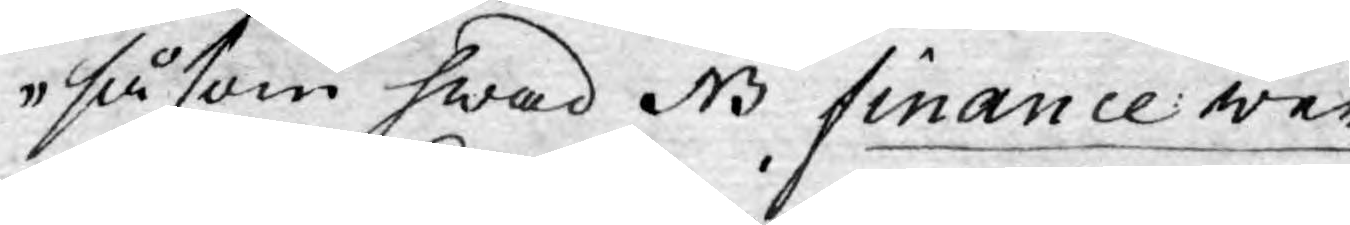såsom hwad NB finance wer¬
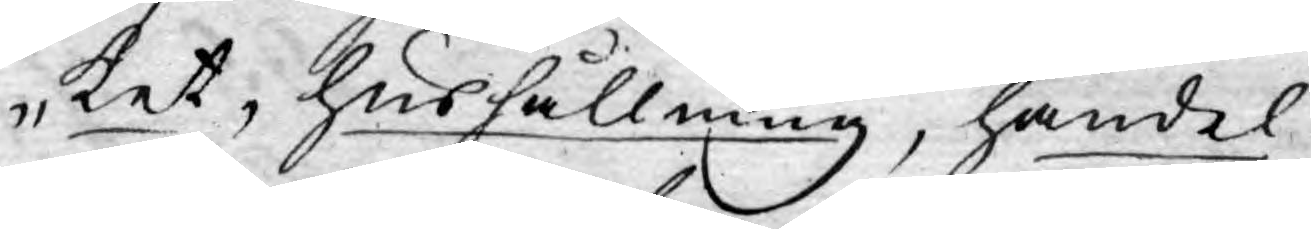ket, hushållning, handel,
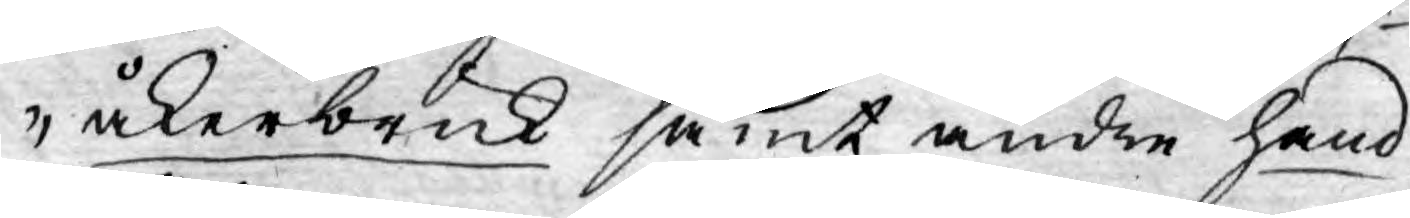åkerbruk samt andre hand¬
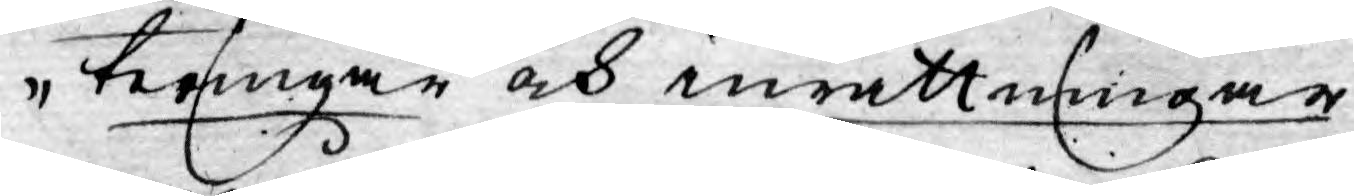teringar och inrättningar
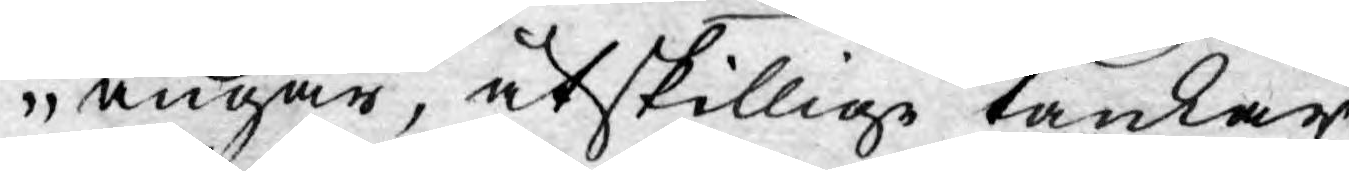angår, åtskillige tankar
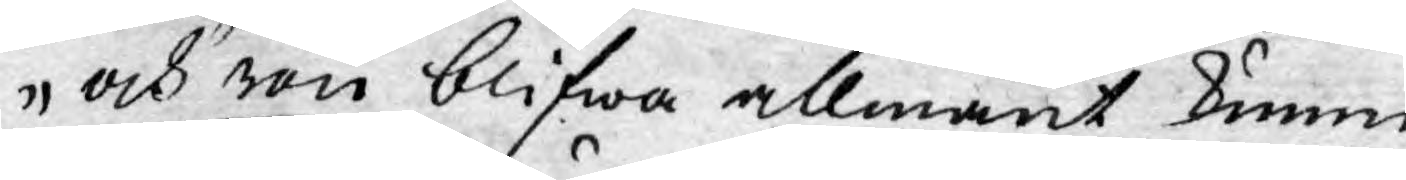och rön blifwa allmänt kunni¬
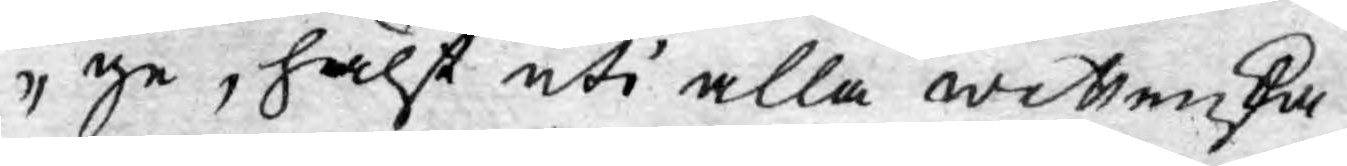ge, hälst uti alla wettenska¬
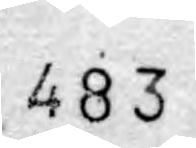483
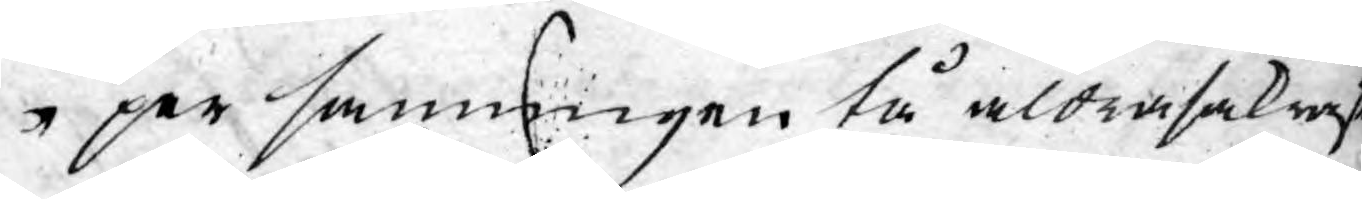per sanningen tå aldrasäkrast
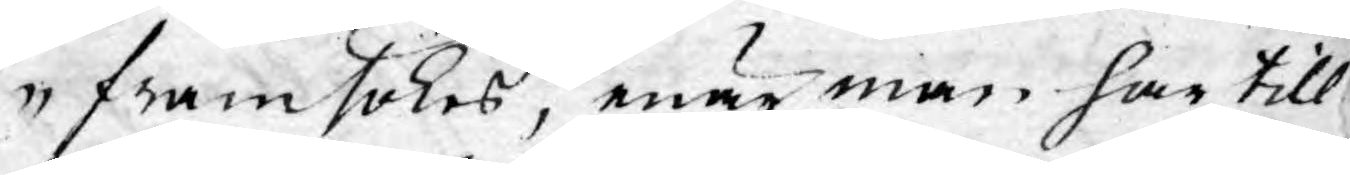framsökes, enär man har till¬
